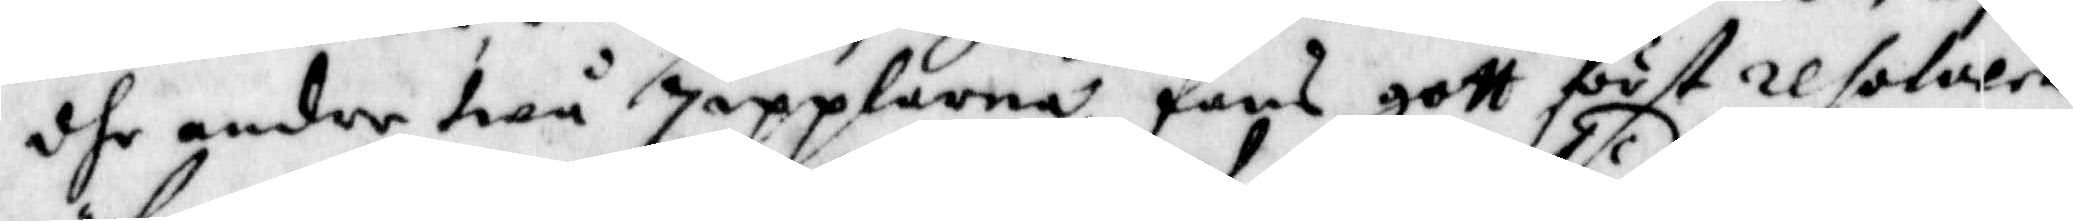dhe andre twå zipplarna, fans gott först resolvera
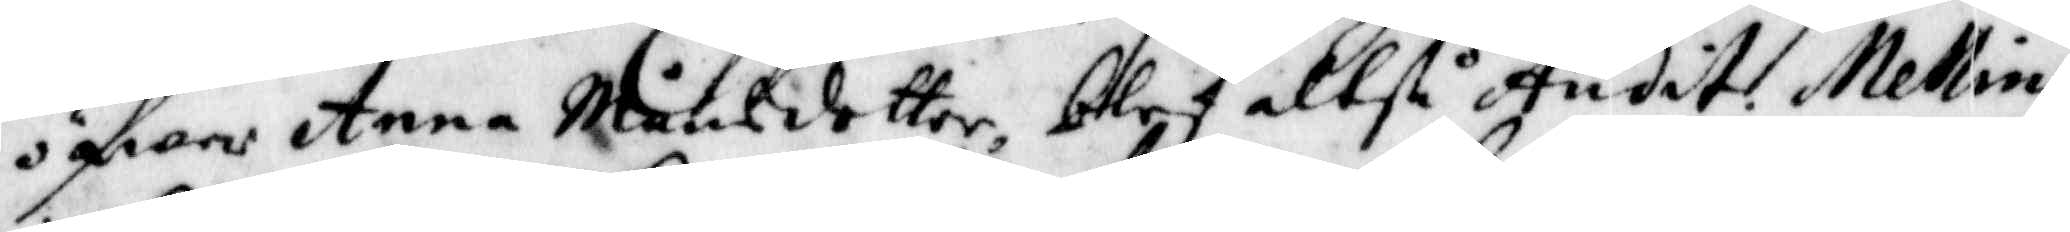öfwer Anna Månsdotter, blef altså Audit. Melling
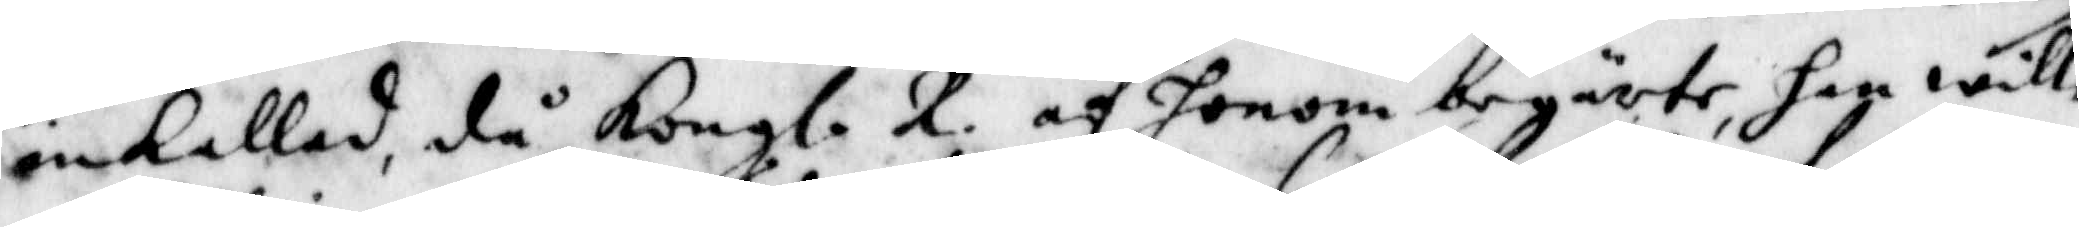inkallad, då Kongl. R. af honom begärte han wille
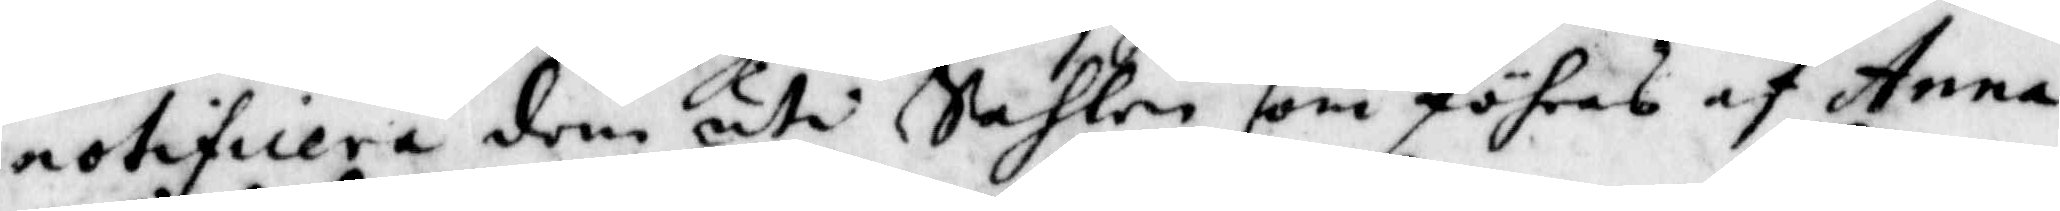notificiera dom uti Sahlen som föhras af Anna
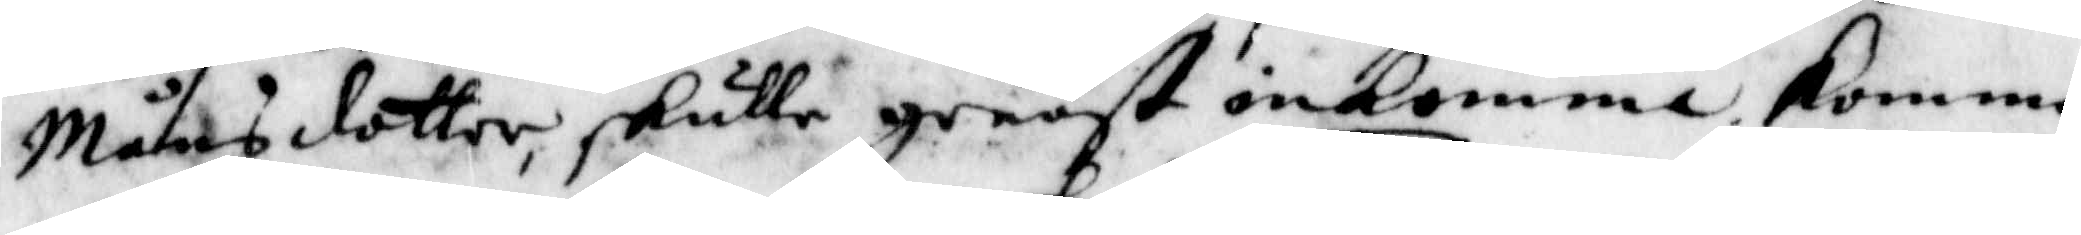Månsdotter, skulle genast inkomma. Kommo
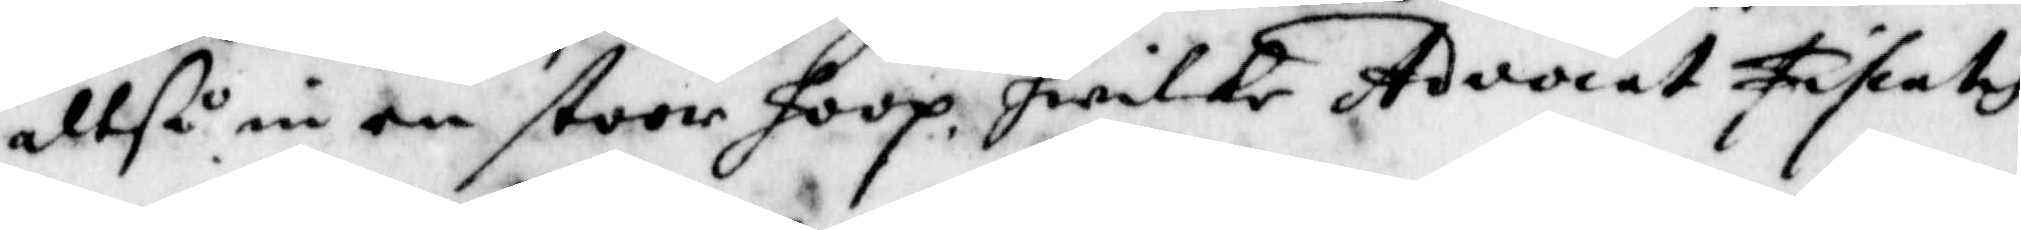altså nu en stoor hoop, hwilket Advocat Fiscalis
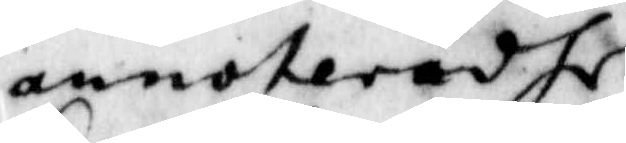annoteradhe.
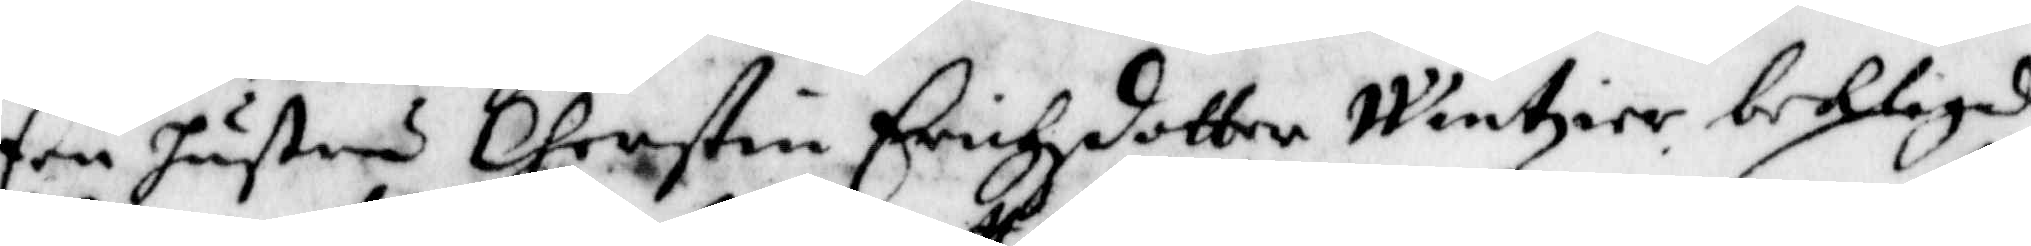Een hustru Cherstin Erichzdotter Wintxier beklagade
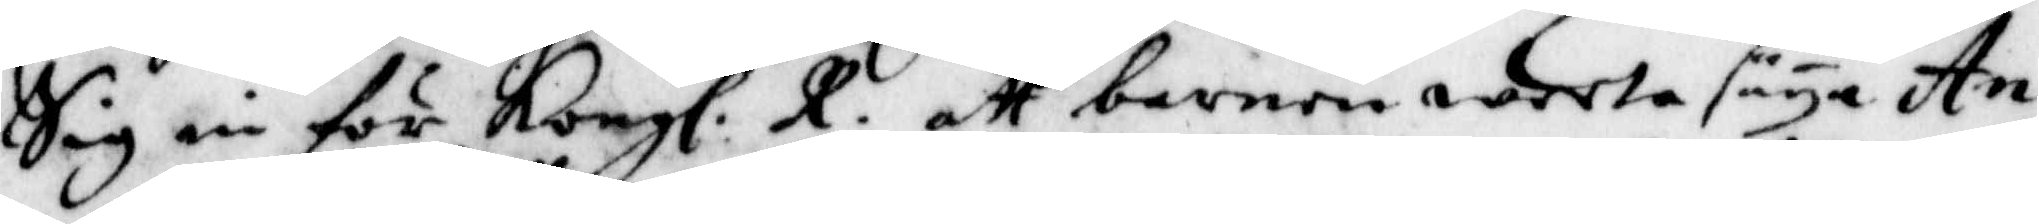Sig in för Kongl. R. att barnen weeta säya An¬
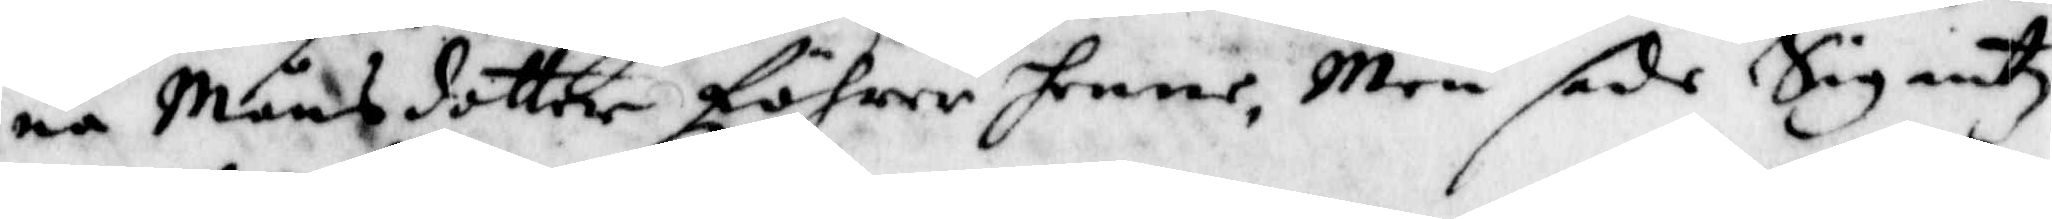na Månsdotter föhrer henne, Men sade Sig intz
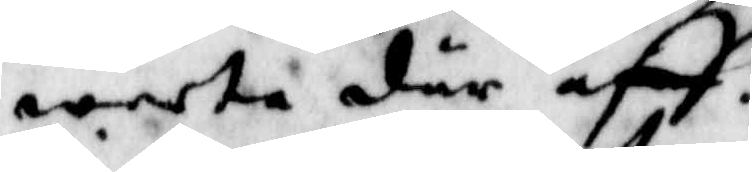weeta där aff.
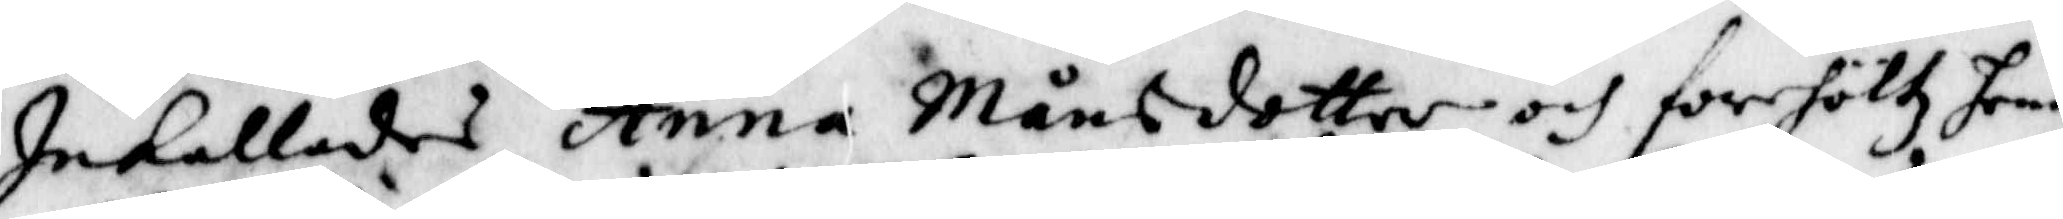Inkallades Anna Månsdotter och förehöltz henne
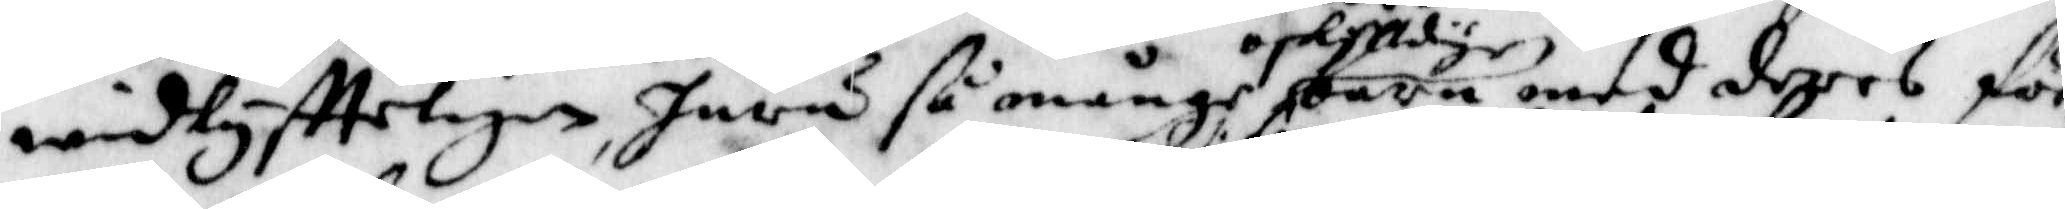widlyftteligen, huru så många oskylldige barn med deres för¬
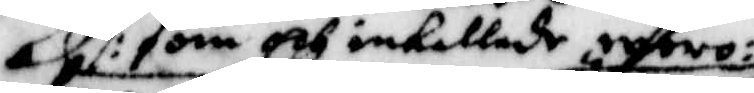/: som och inkallade woro :/
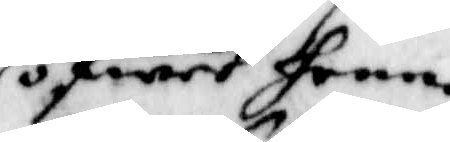öfwer henne
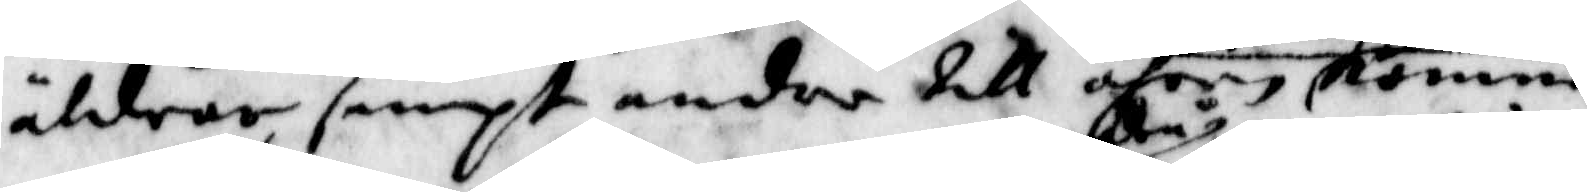äldrar sampt andra till åhren komne
